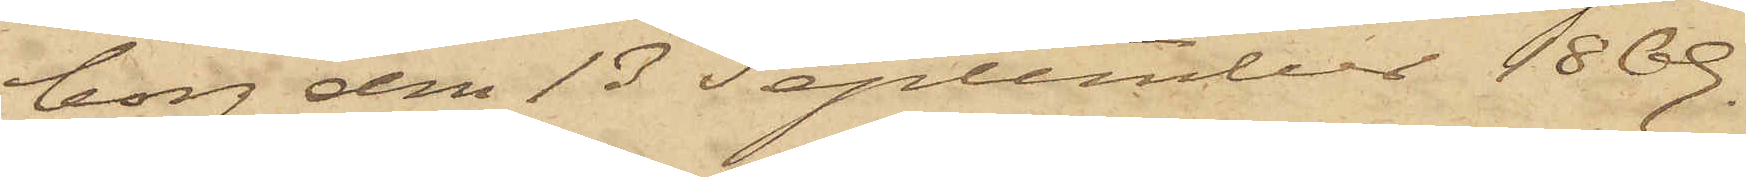borg den 13 September 1869.
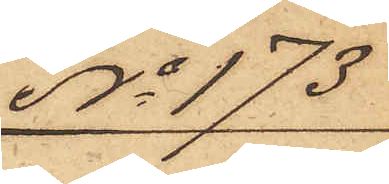No 173
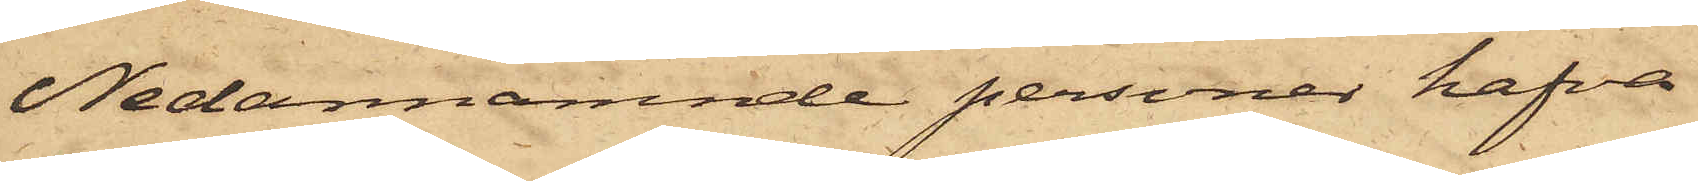Nedannämnde personer hafva
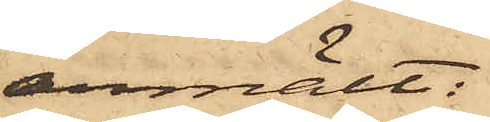anmält:
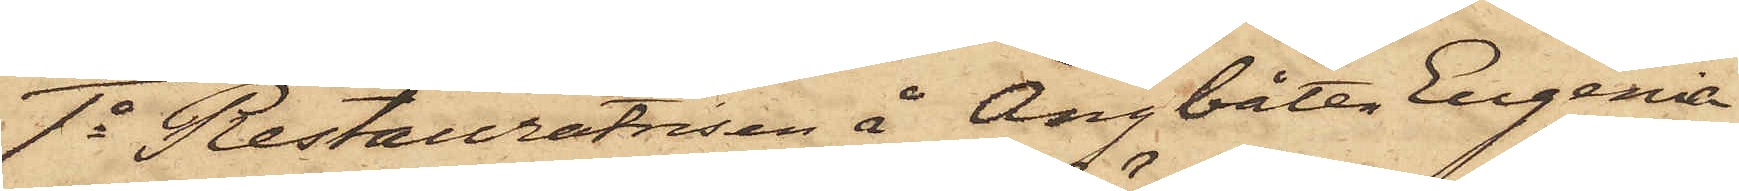1o Restauratrisen å Ångbåten Eugenia
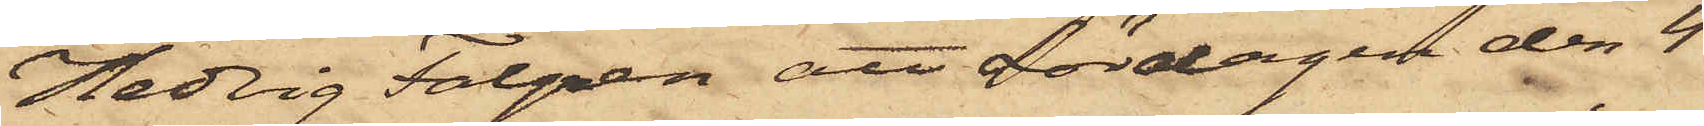Hedvig Falgren att Lördagen den 4
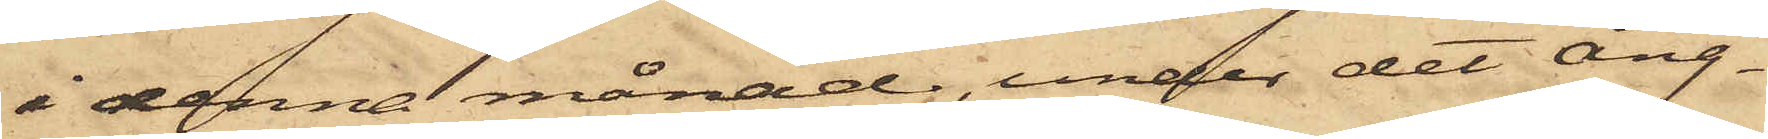i denna månad, under det ång¬
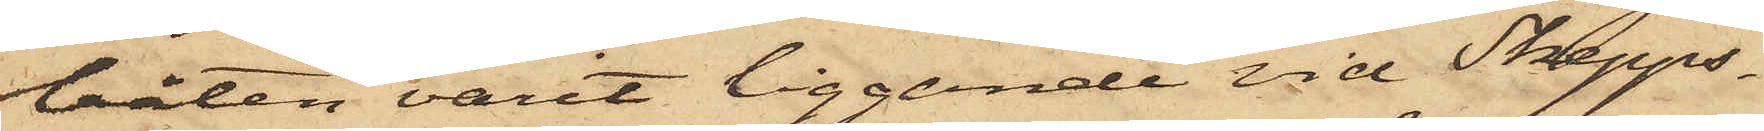båten varit liggande vid Skepps¬
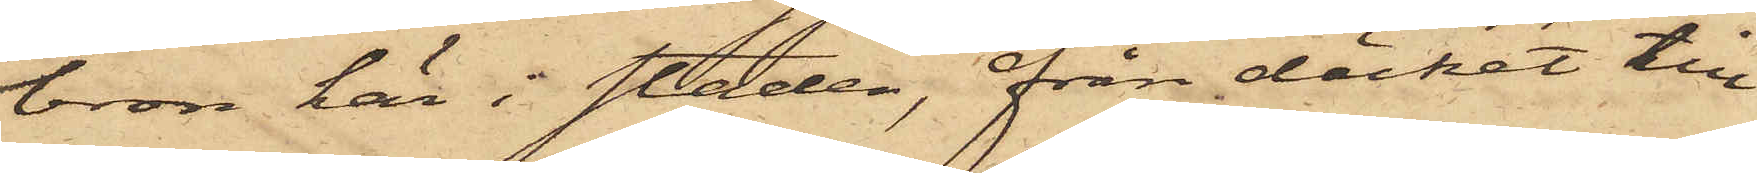bron här i staden, från däcket till
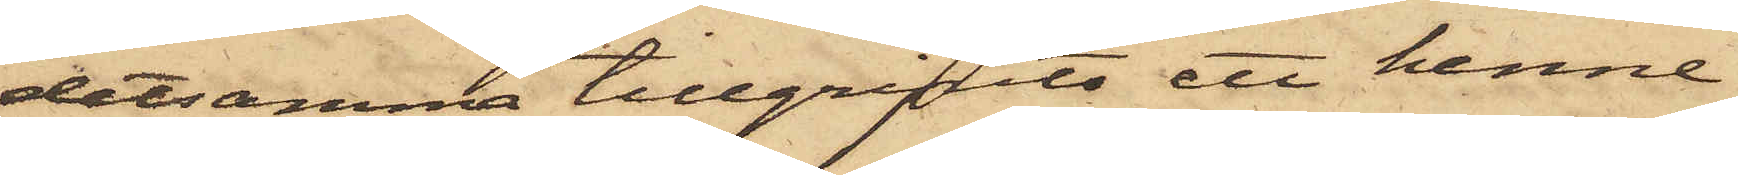detsamma tillgripits ett henne
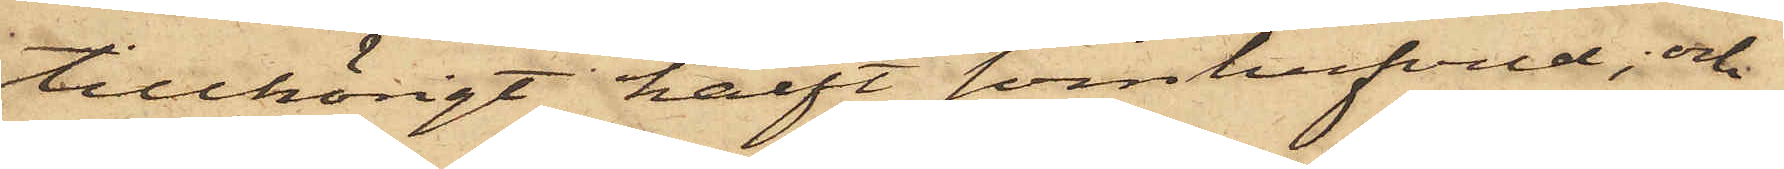tillhörigt halft svinhufvud; och
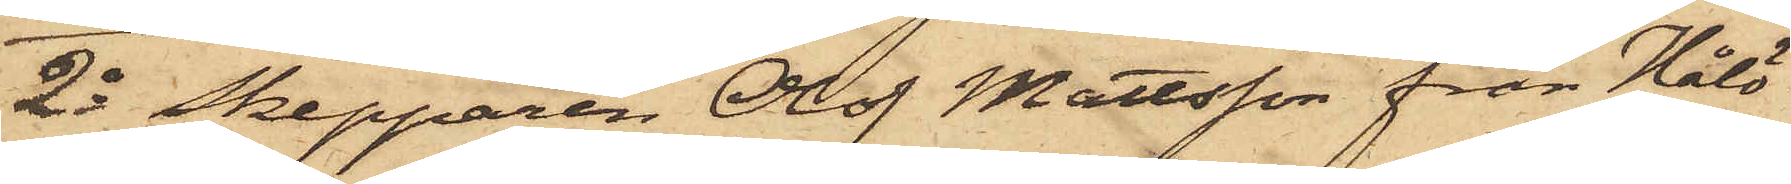2o Skepparen Olof Mattsson från Hålö
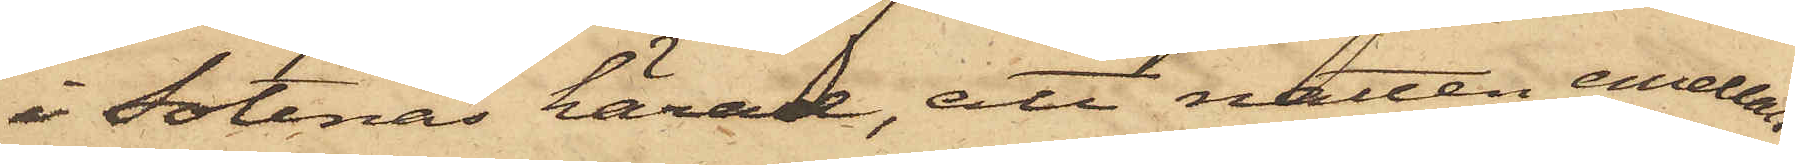i Sotenäs härad, att natten emellan
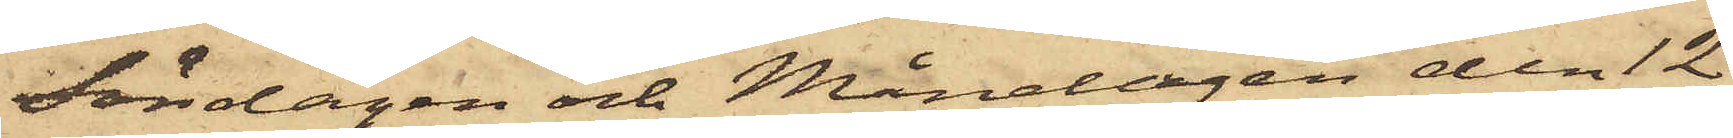Söndagen och Måndagen den 12
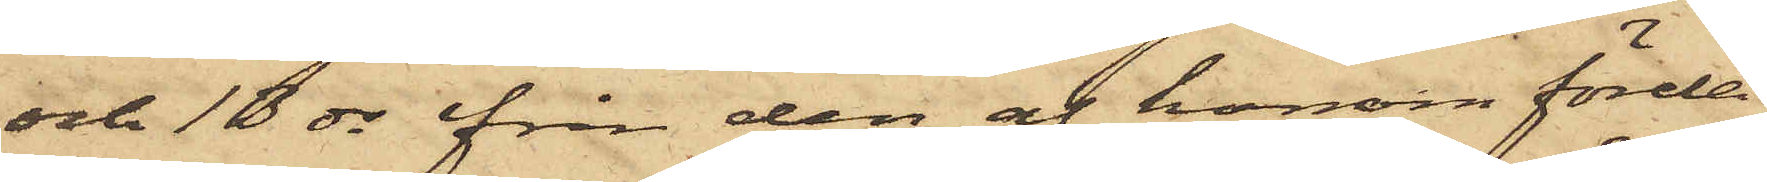och 13 ds från den af honom förda
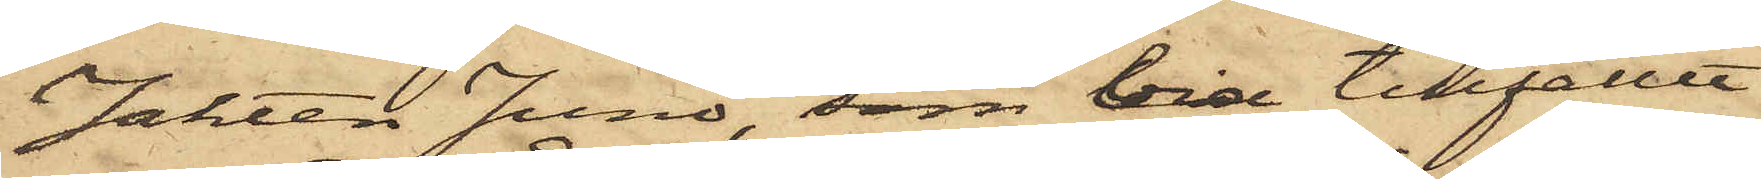Jakten Juno, som vid tillfället
